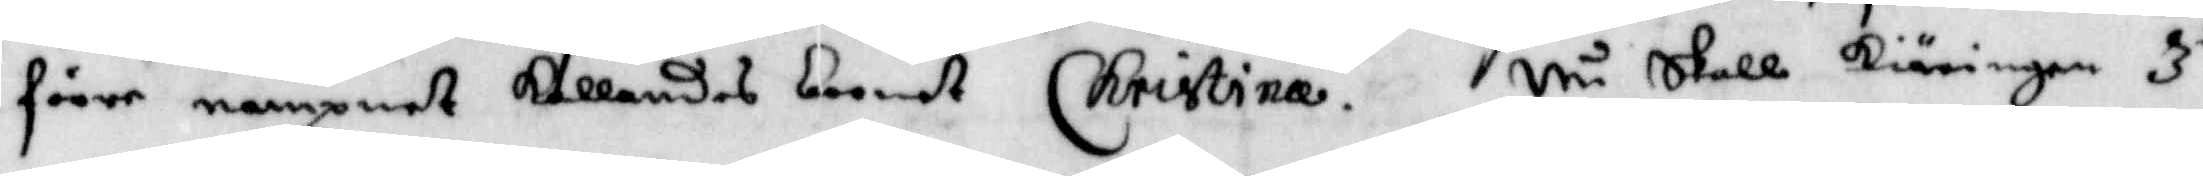förre nampnet kallandes barnet Christina. Nu skall kiäringen 3.die
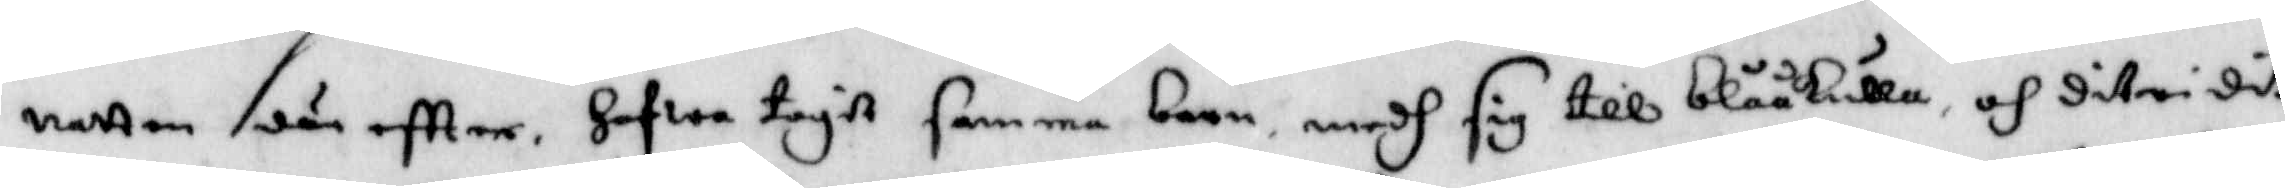natten däreftter Hafwa tagit samma barn medh sig till Blåkulla och ditridit
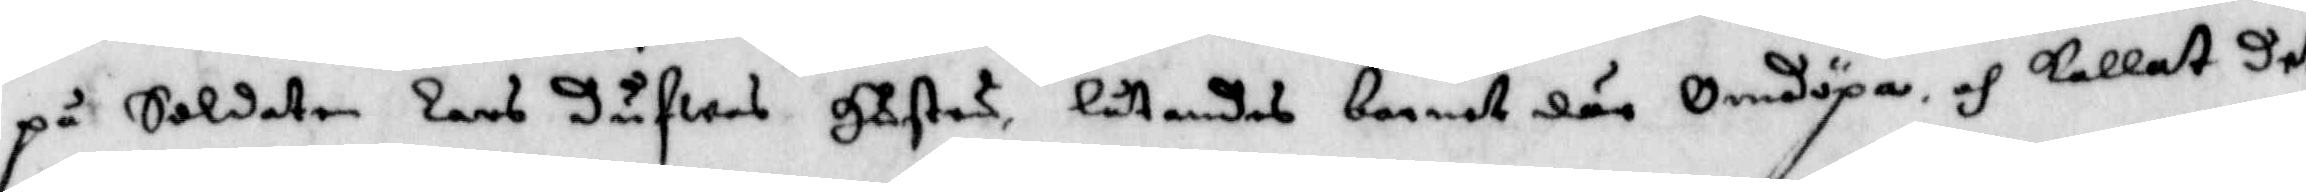på Soldatne Lars Dufwas Hustru, låtandes barnet där omdöpa och kallat det
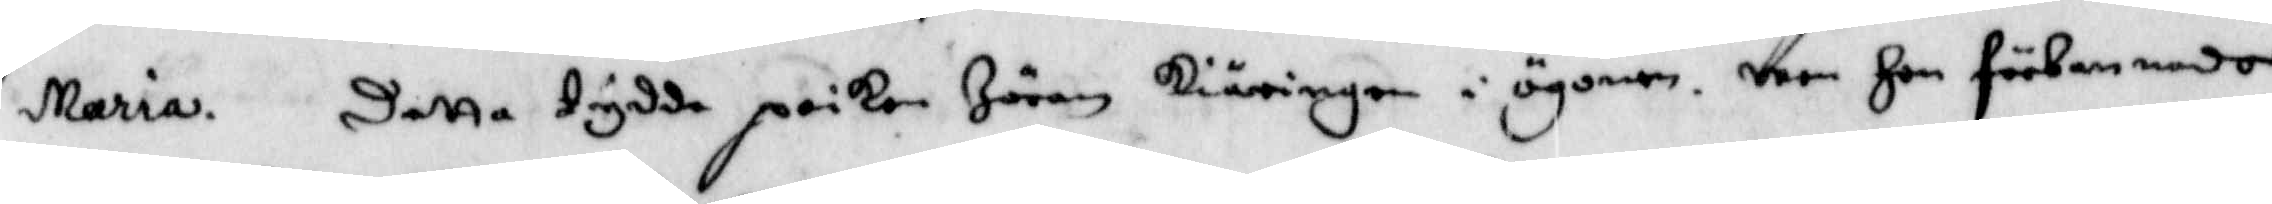Maria. detta tydde poiken Jöran kiäringen i ögonen, men Hon förbannade
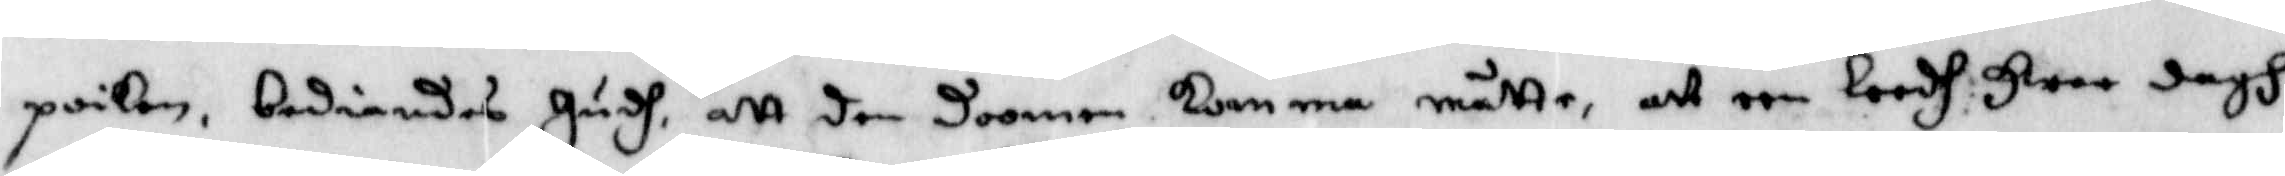poiken, bediandes Hudh, att den doomem komma måtte, att een Loodh Hwer dagh
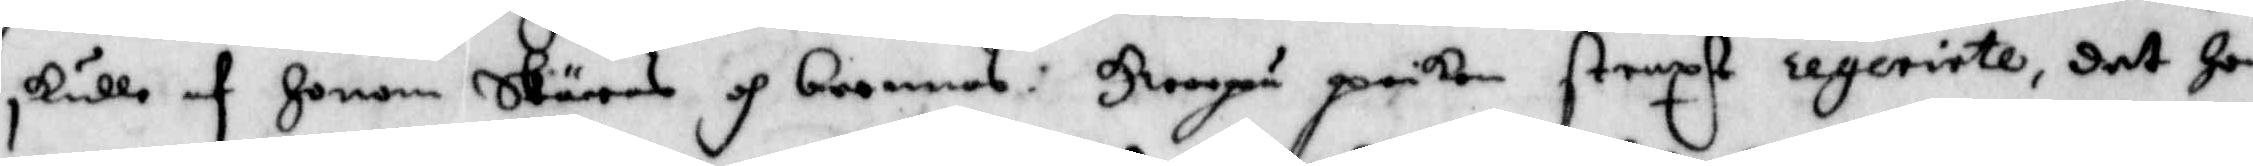skulle af Honom Skäras och brennas: Hwarpå poiken straxt regerirte, det Hon
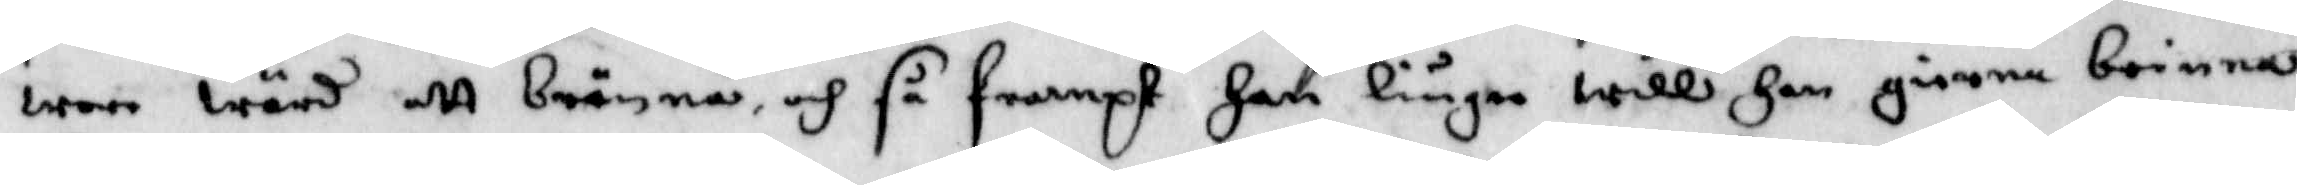wore wärd att brännas, och så frampt han liuga will Han gierna brinnas
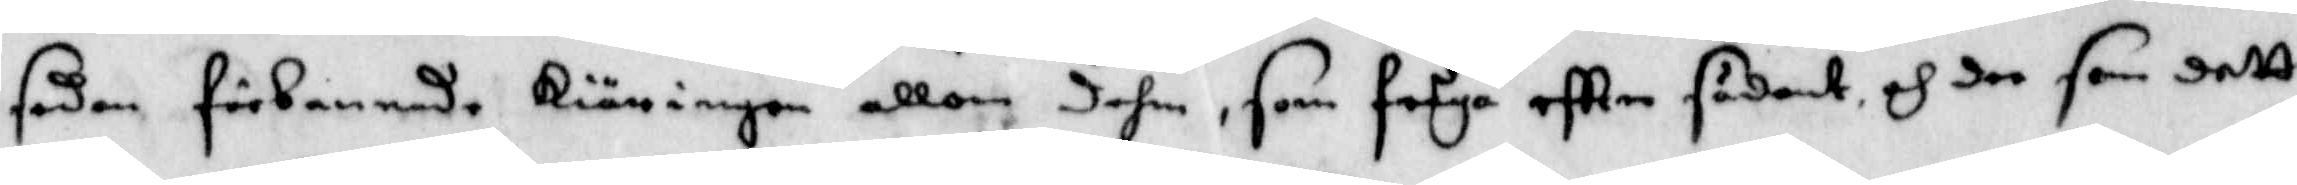sedan förbannade kiäringen allom dehm, som fråga eftter sådant och dee som dett
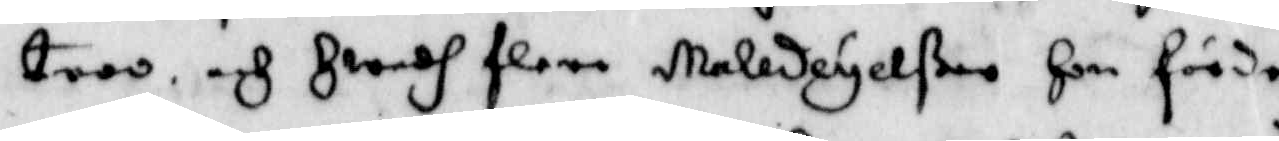troo, och Hwadh flere Maledeyelßer Hon förde.
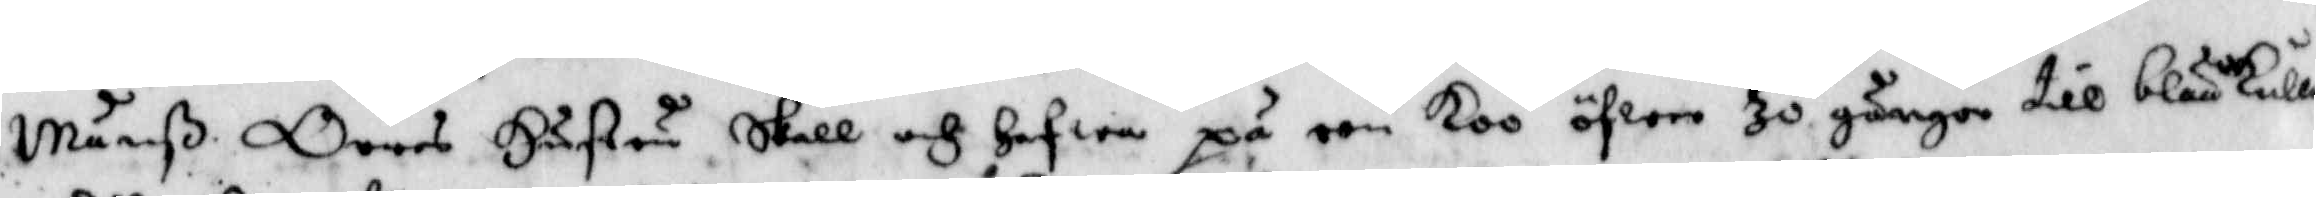Månß Orres Hustru skall och hafwa på een koo öfwer 30 gånger till blååkulla
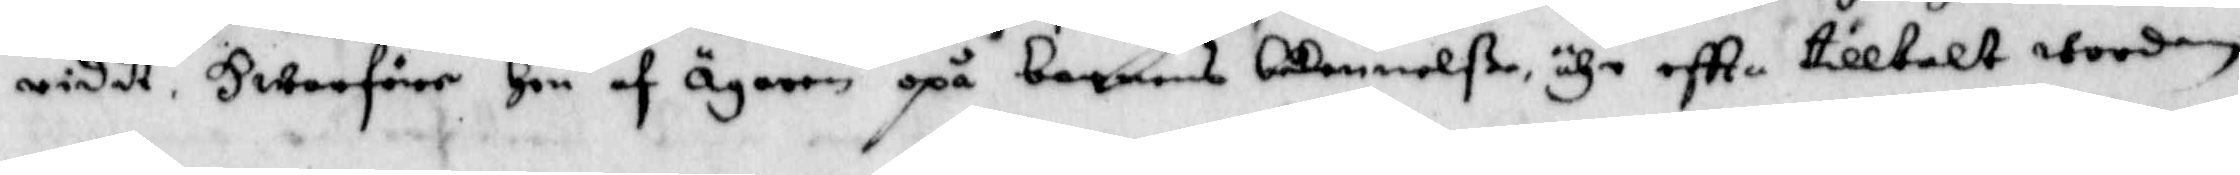ridit, Hwarföre Hon af ägaren opå barnens bekennelße, ähr eftter tilltalt worden.
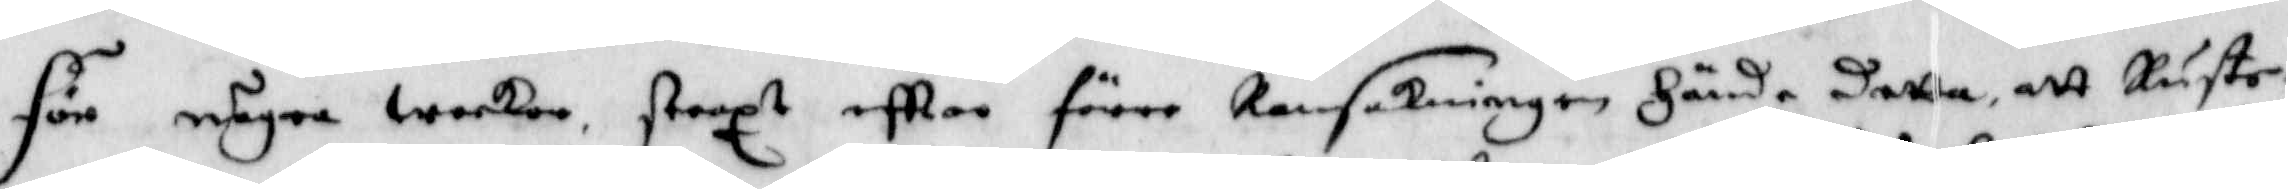För några weckor , straxt eftter förre Ransakningen Hände detta, att Ruste¬
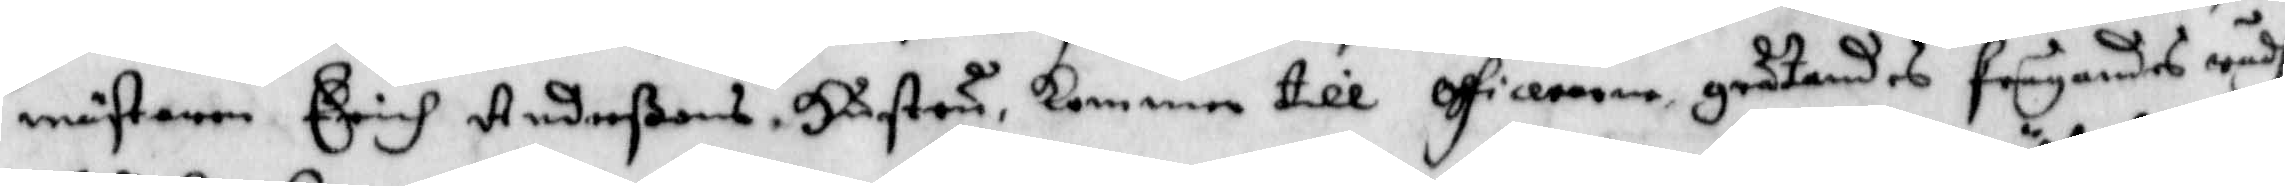mästaren Erich Anderßons Hustru, kommen till officerarna, gråtandes frågandes wadh
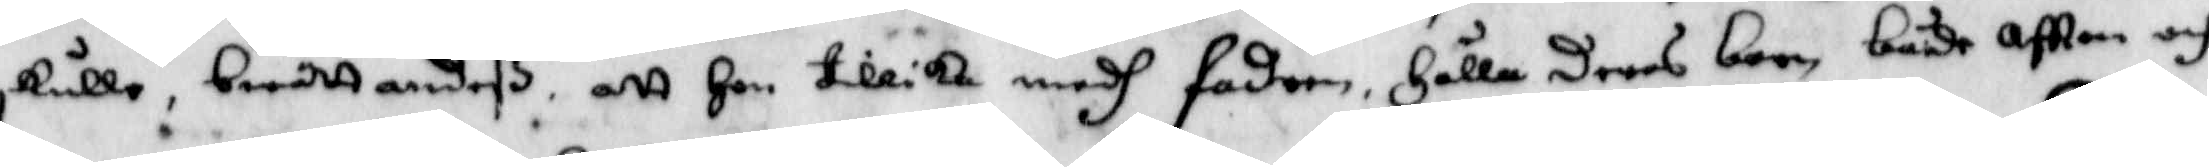skulle, berättandeß att Hon tillika medh fadren, Hålla deras barn, både aftton och
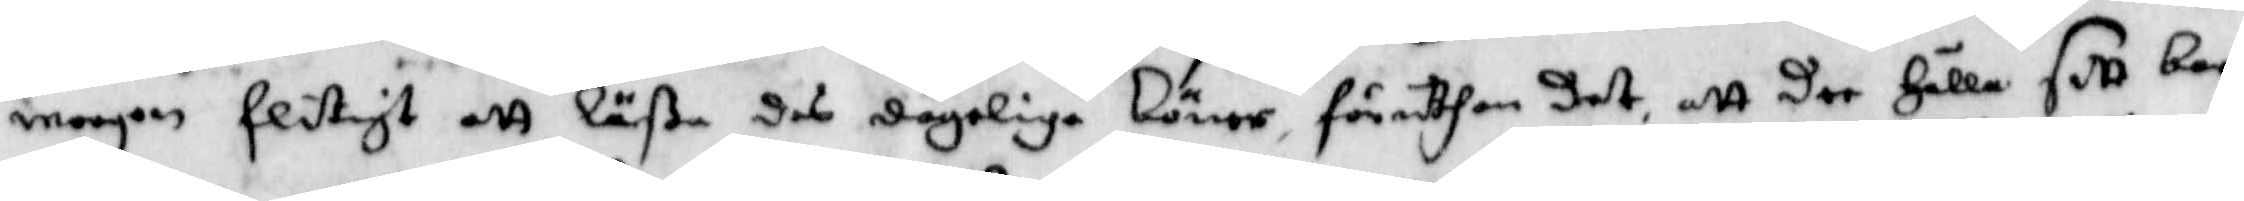morgon flitigt att läßa des dageliga böner, föruthan det, att der Hålla sitt barn
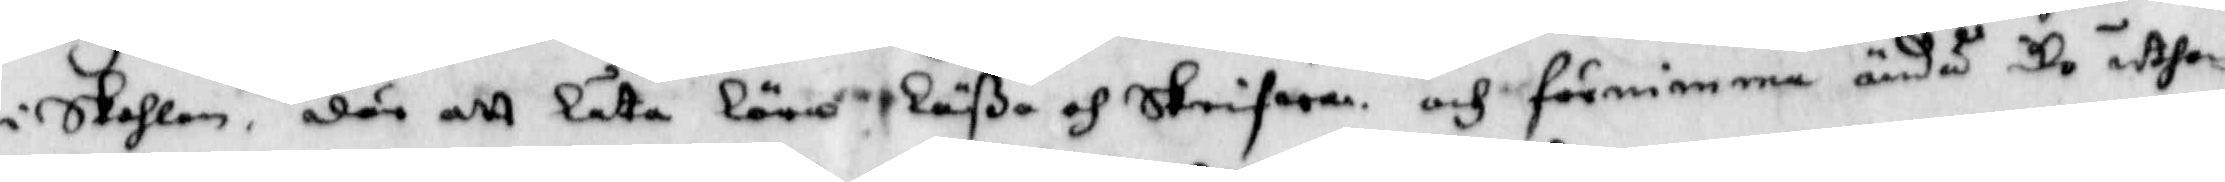i skohlan, där att låta lära läßa och skrifwa, och förnimma ändå de uthan
